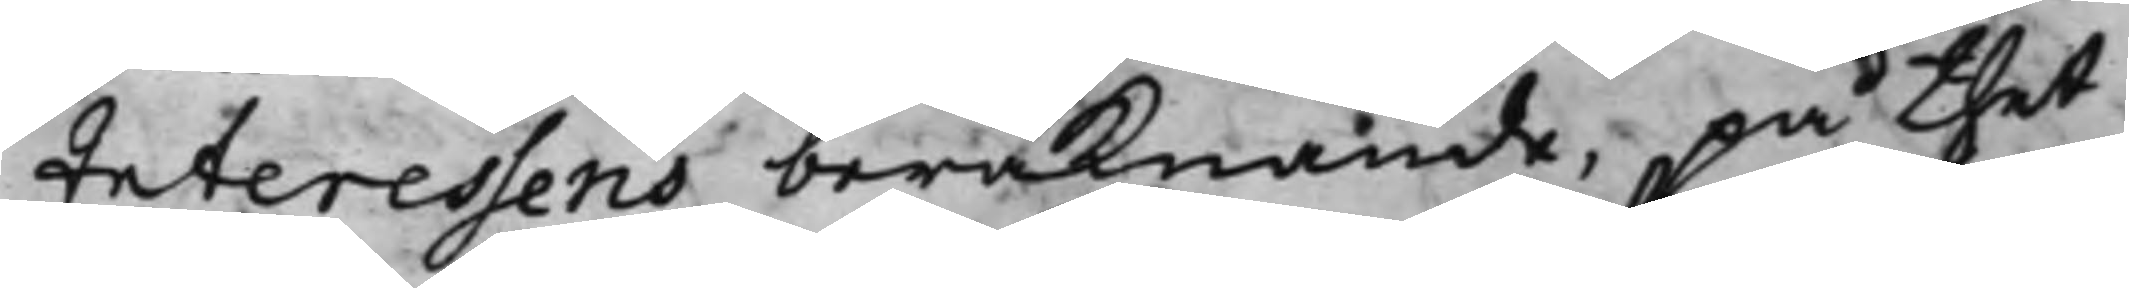Interessens beräknande, på thet
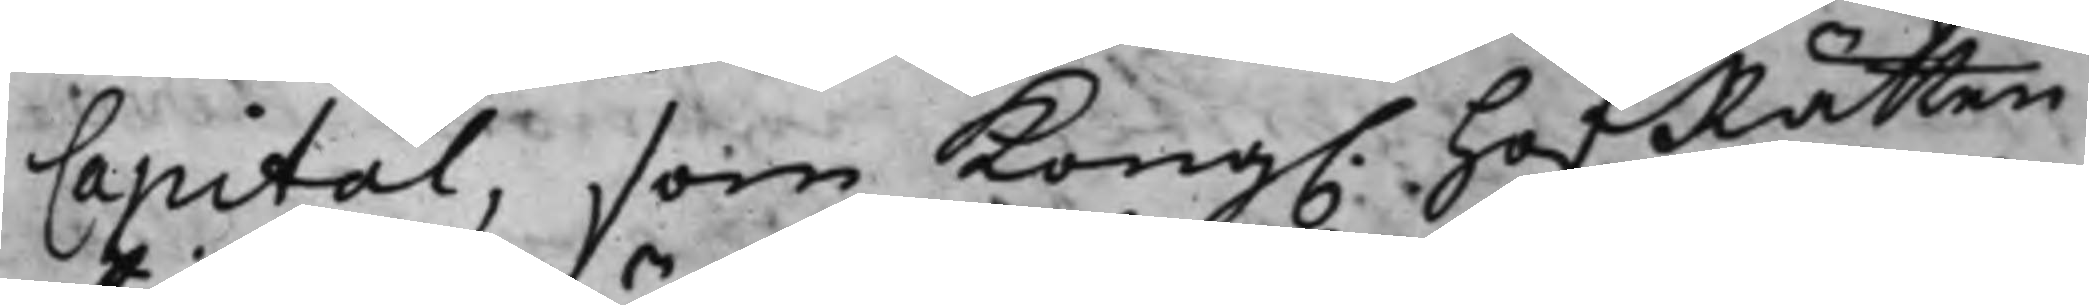Capital, som Kong. HofRätten
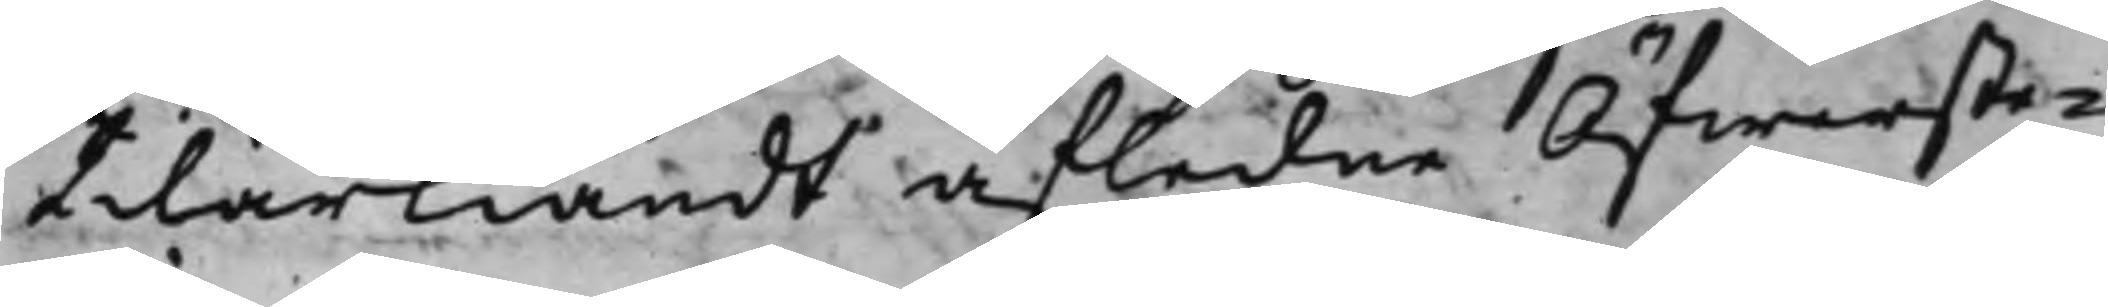tilärkiändt afledne Öfwerste¬
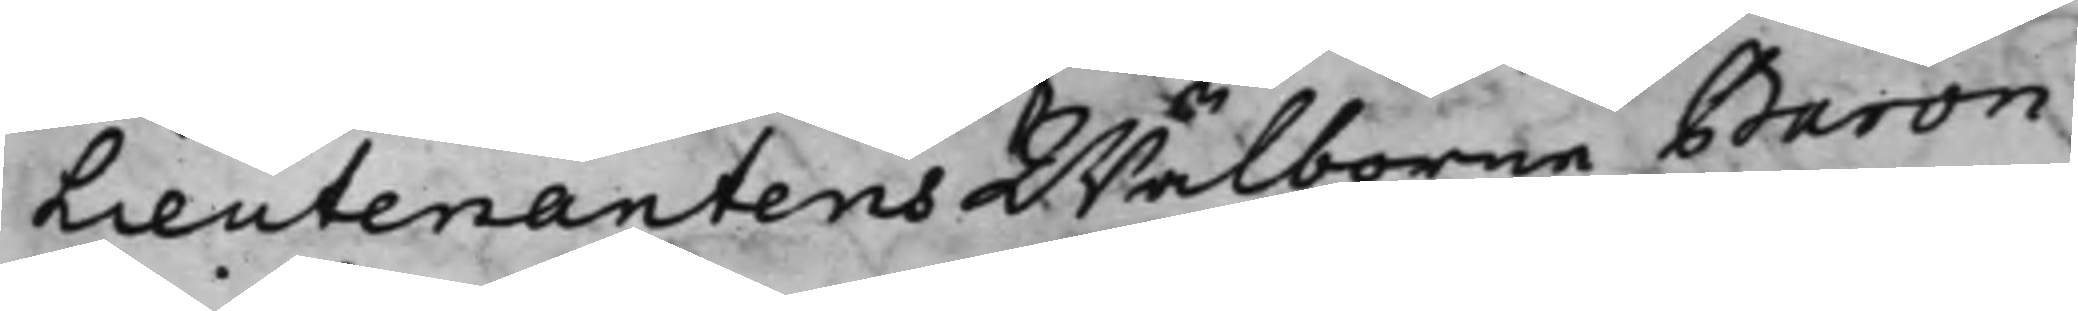Lieutenantens Wälborne Baron
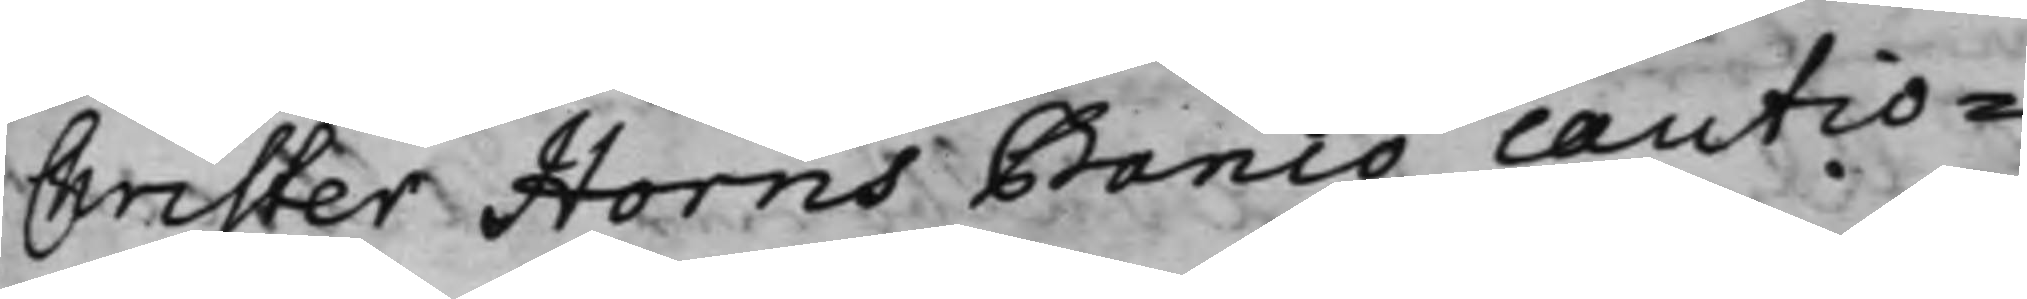Christer Horns Banco cautio¬
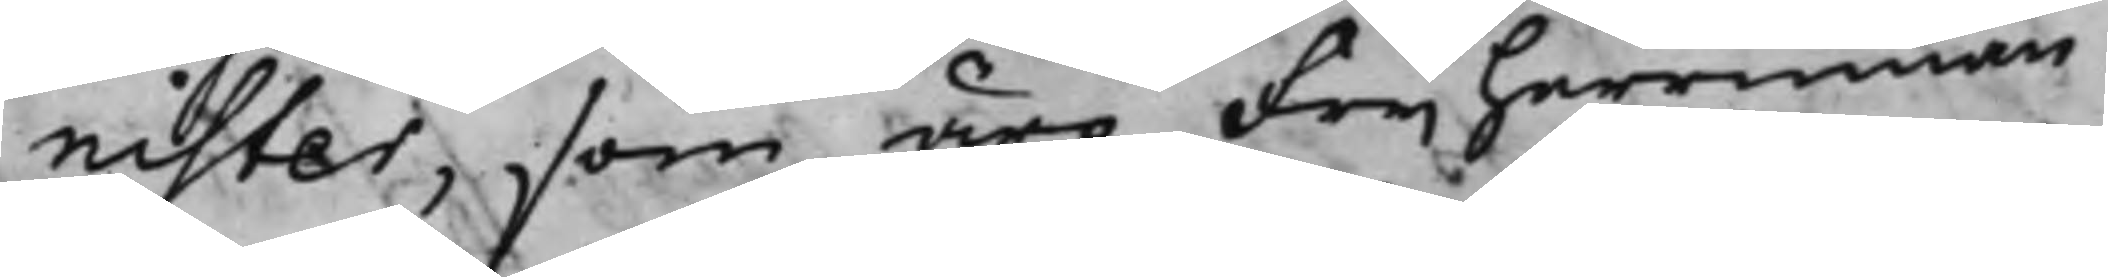nister, som äro Frijherrinnan
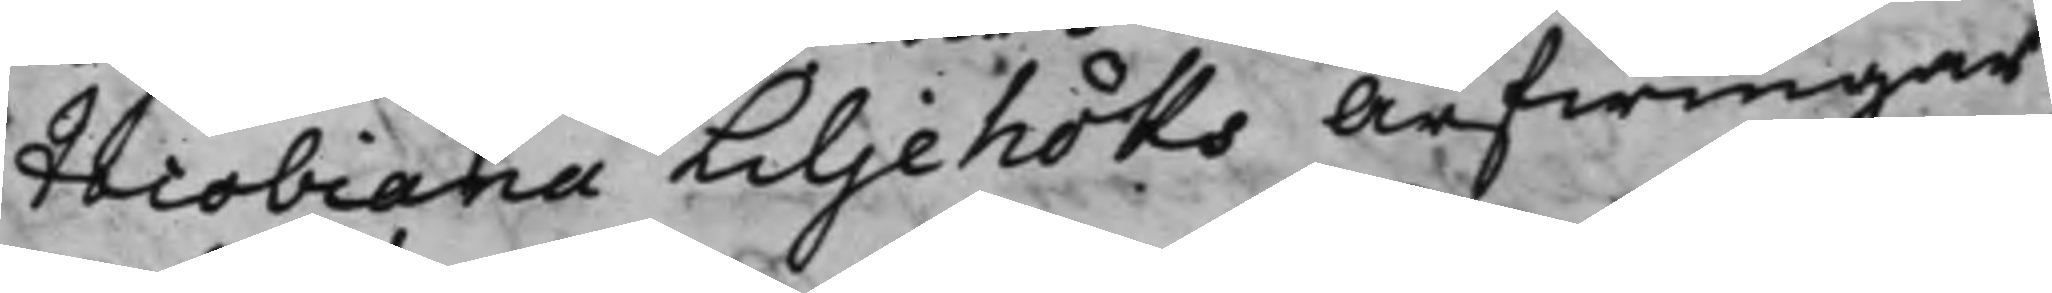Jacobiana Liljehöks Arfwingar
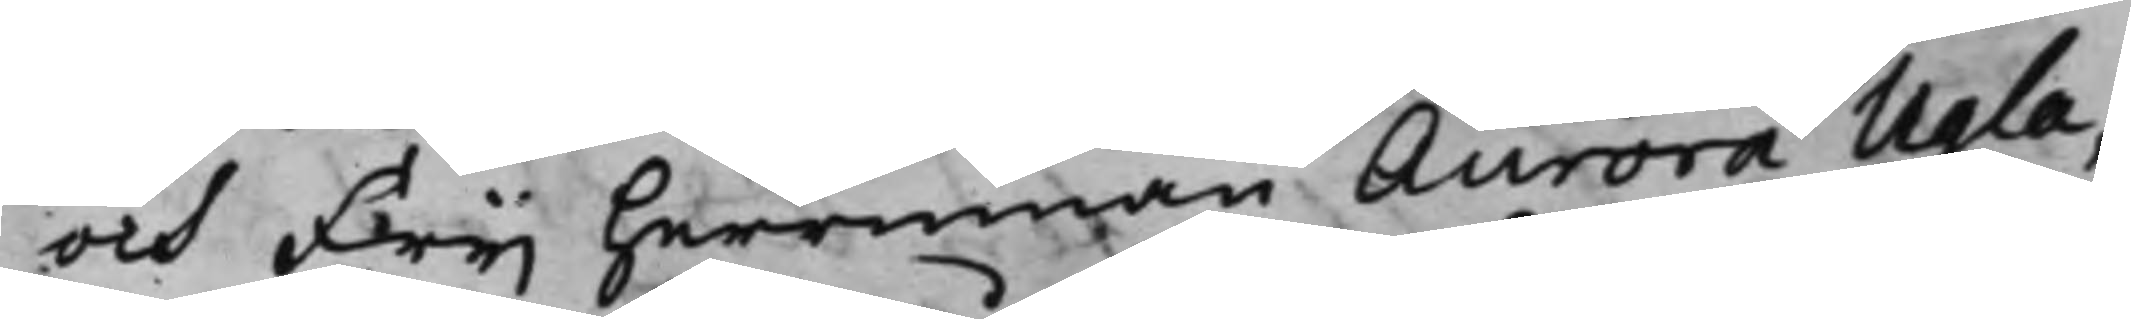och Frijherrinnan Aurora Ugla,
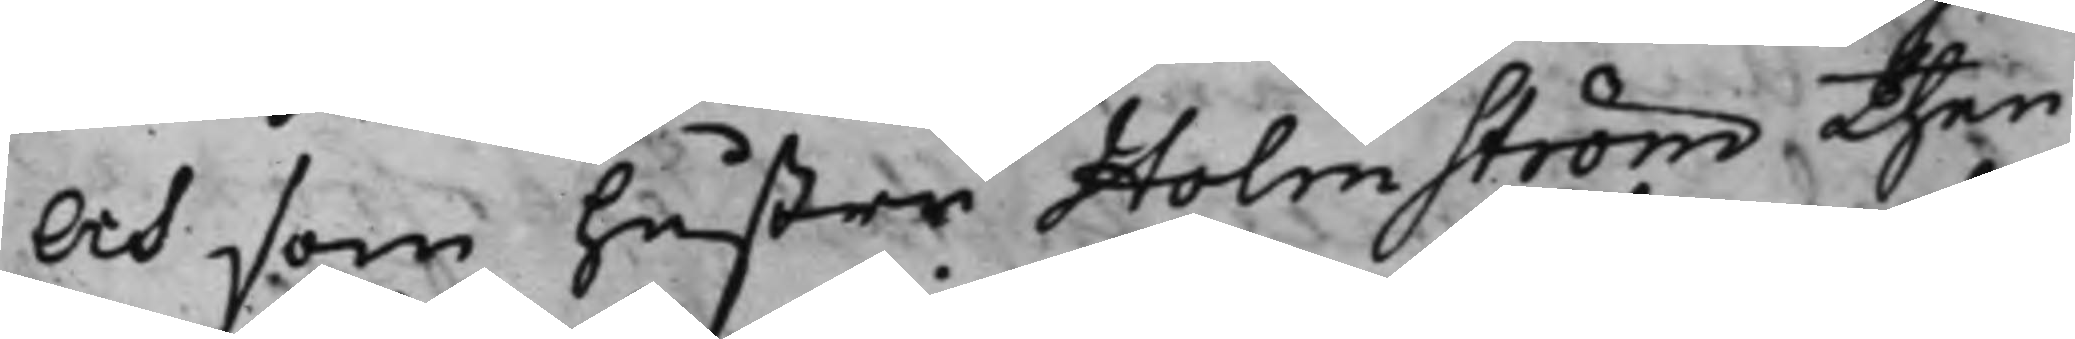Och som hustru Holmström then
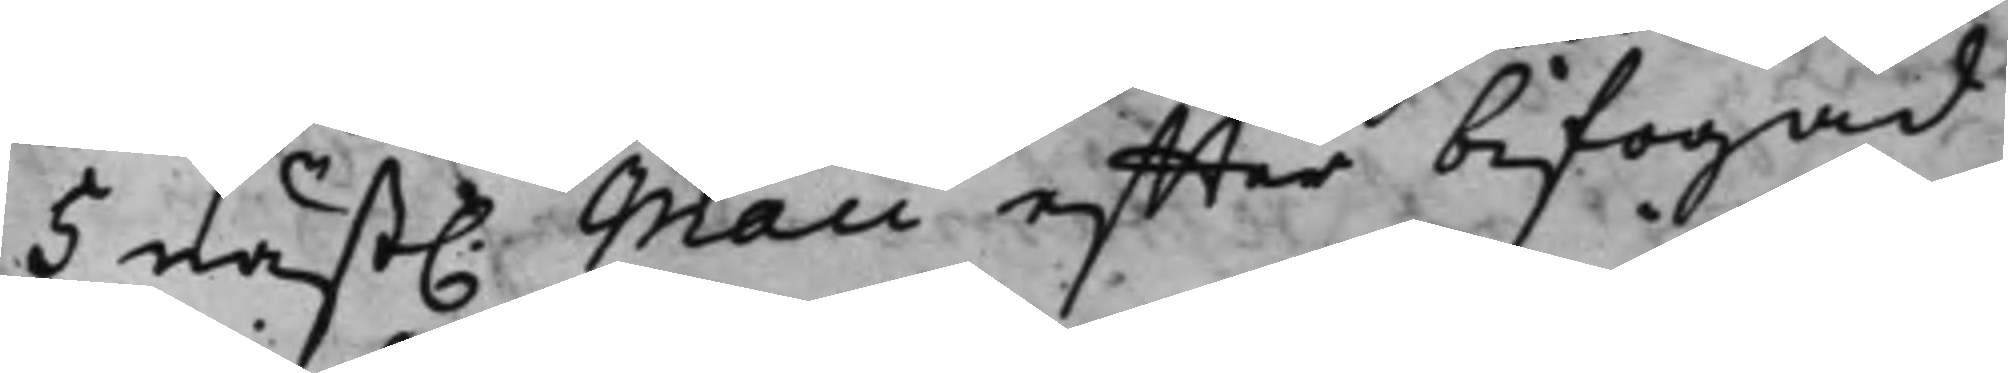5 näst. Maii effter bifogad
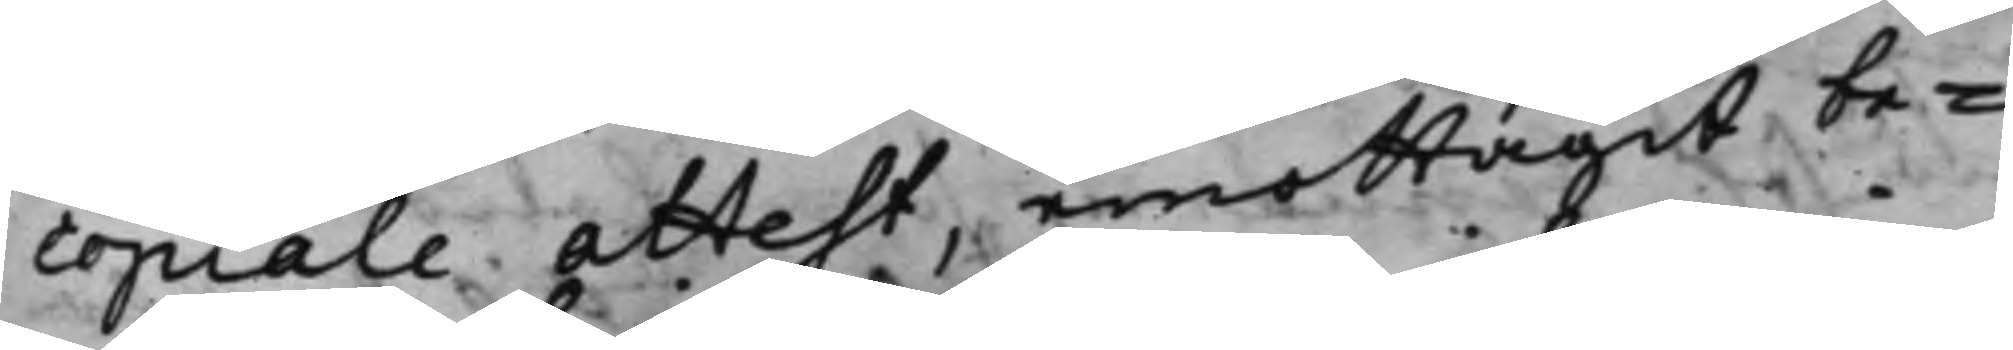copiale attest, emottagit be¬
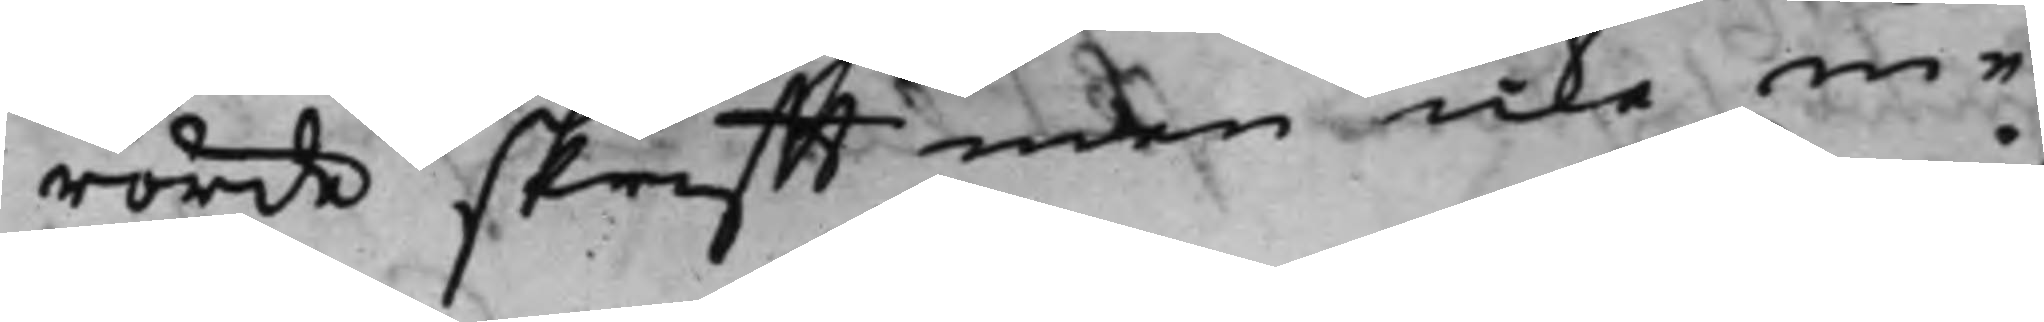rörde skrifft men icke in¬
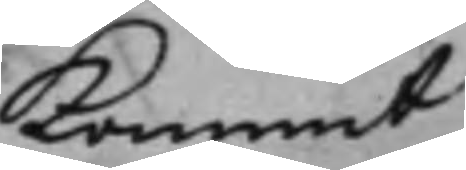kommit
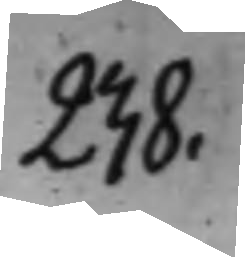238.
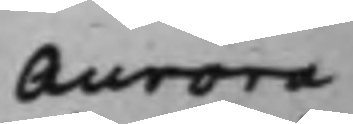Aurora
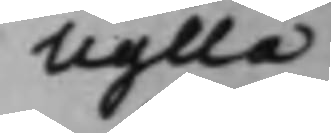Uglla
